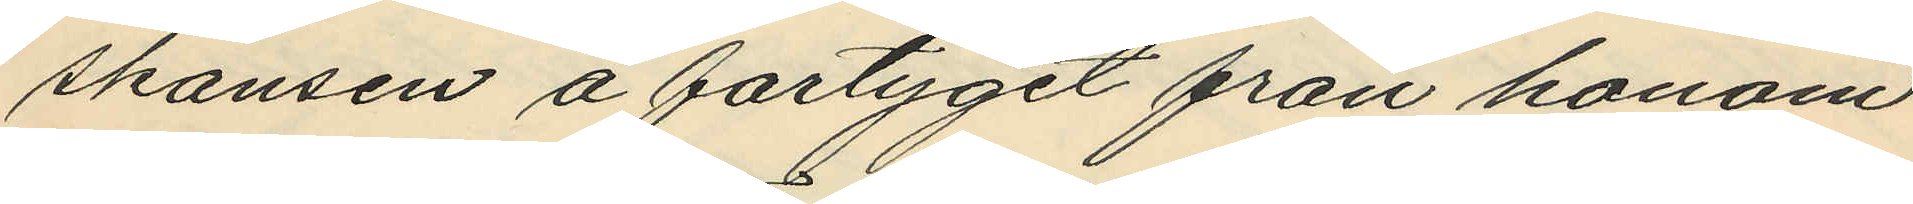skansen å fartyget från honom
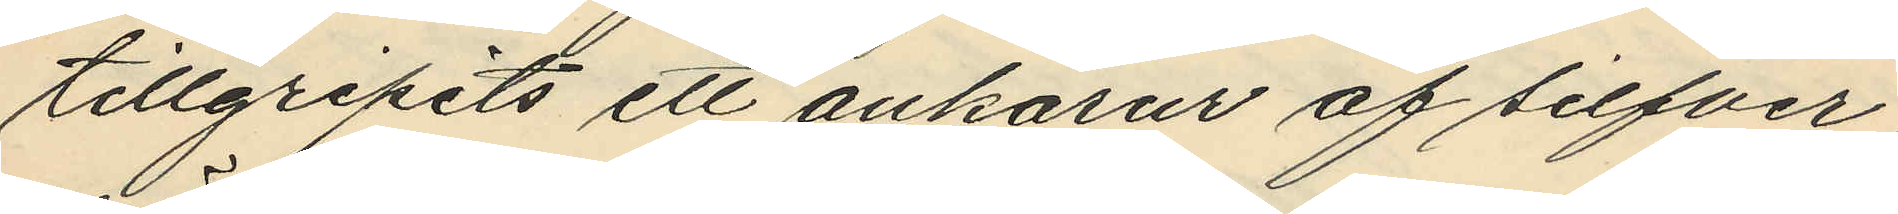tillgripits ett ankarur af silfver,
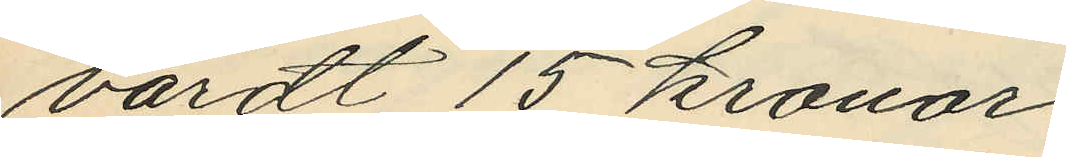värdt 15 kronor.
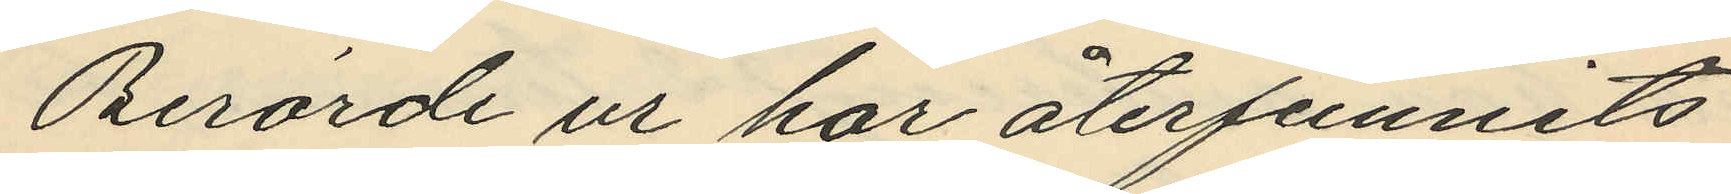Berörde ur har återfunnits
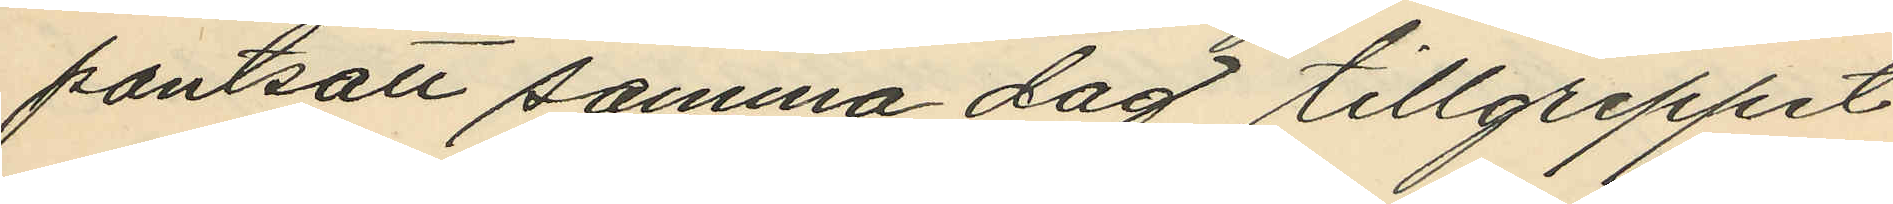pantsatt samma dag tillgreppet
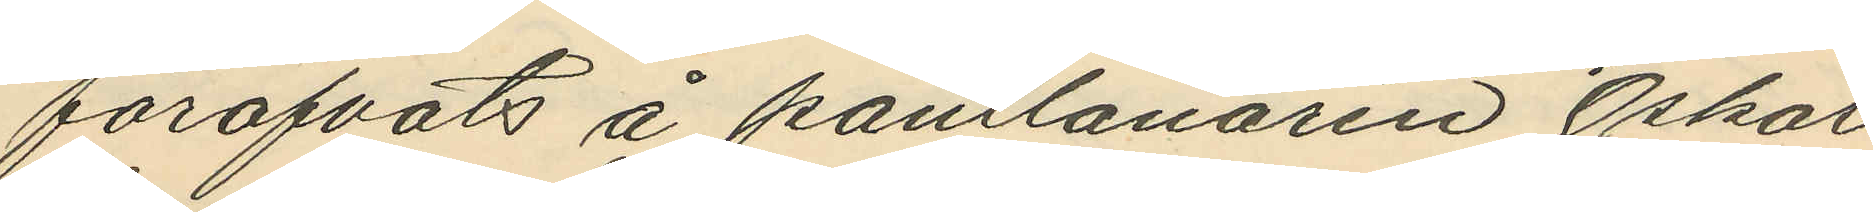föröfvats å pantlånaren Oskar
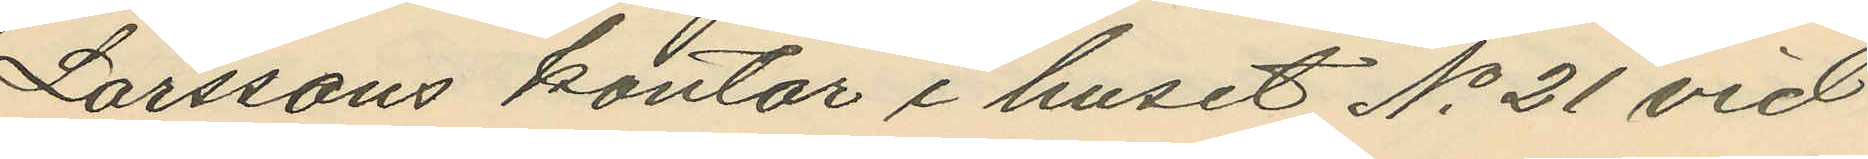Larssons kontor i huset No 21 vid
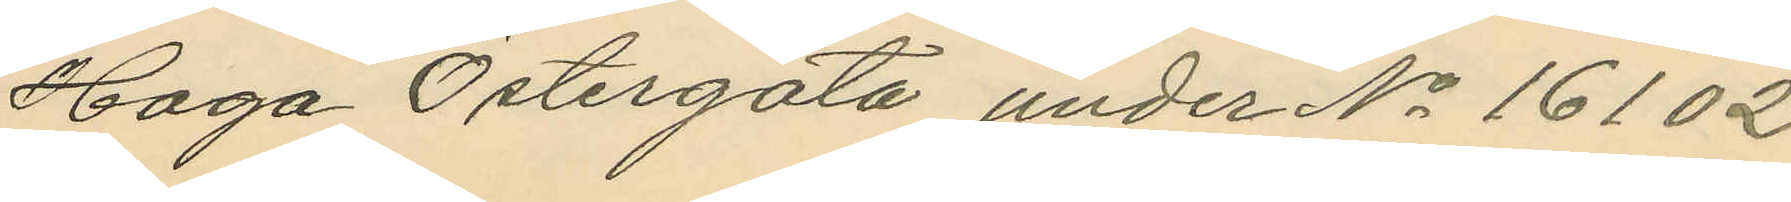Haga Östergata under No 16102
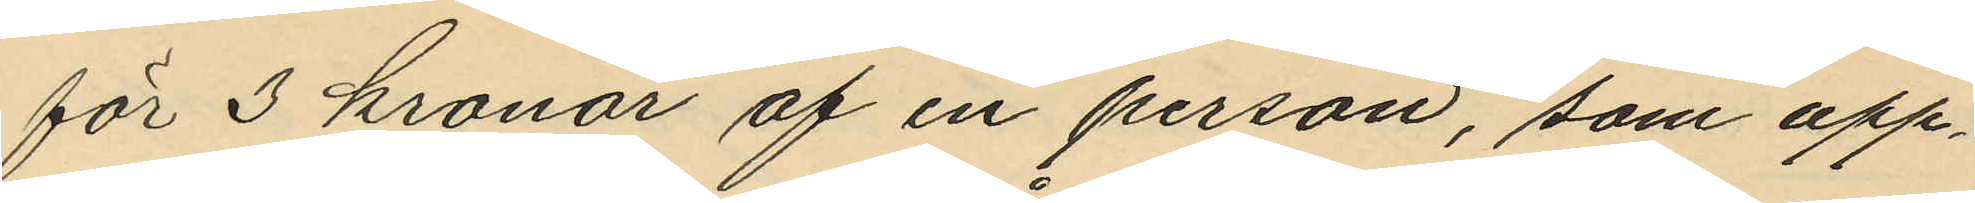för 3 kronor af en person, som upp¬
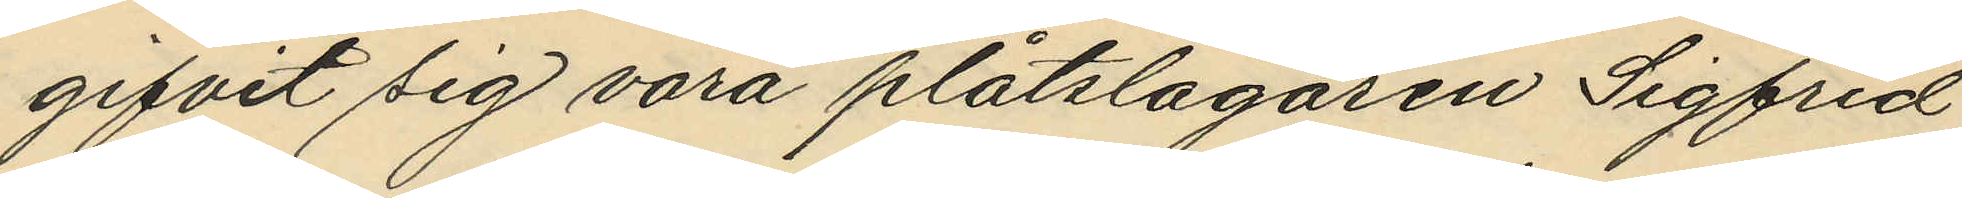gifvit sig vara plåtslagaren Sigfrid
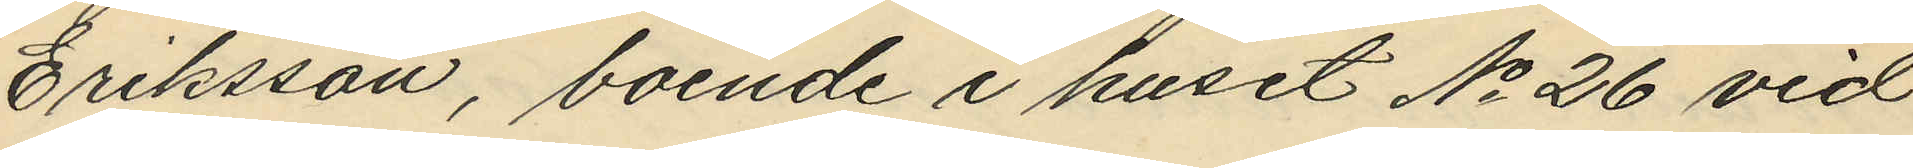Eriksson, boende i huset No 26 vid
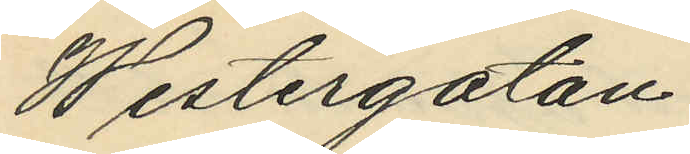Westergatan.
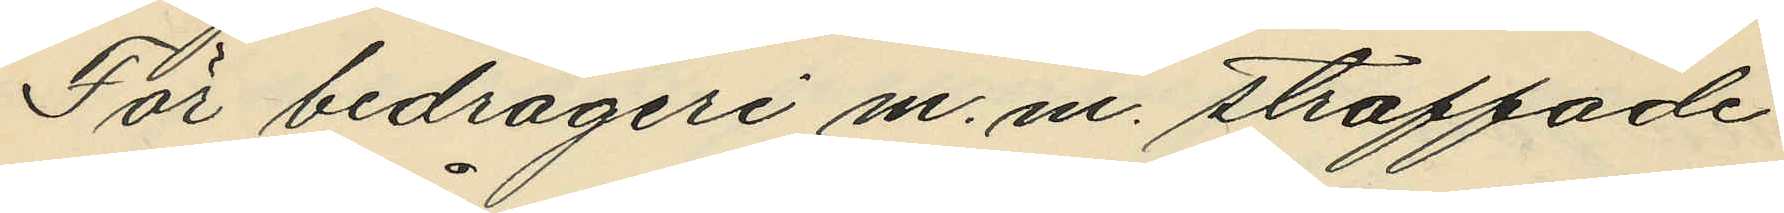För bedrägeri m. m. straffade
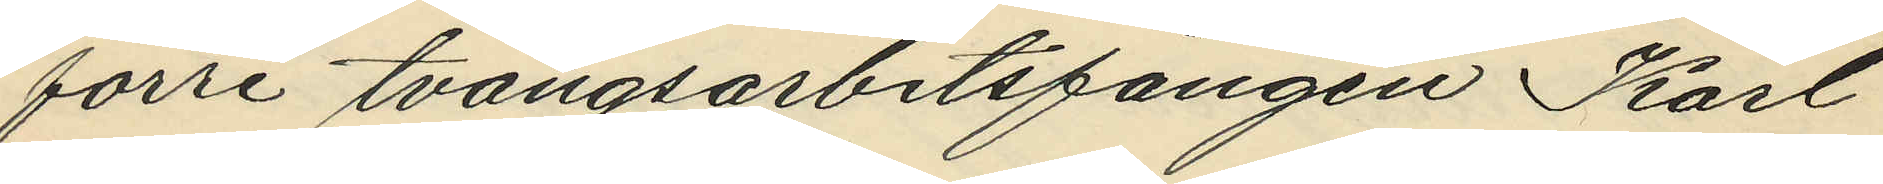förre tvångsarbetsfången Karl
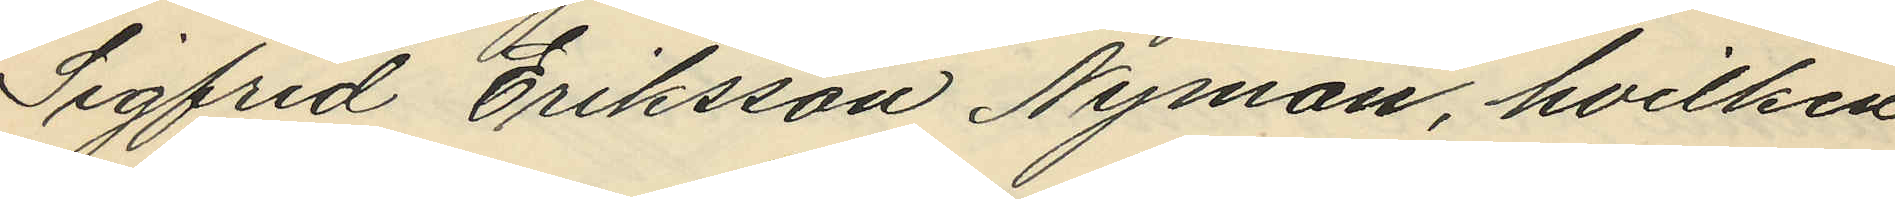Sigfrid Eriksson Nyman, hvilken
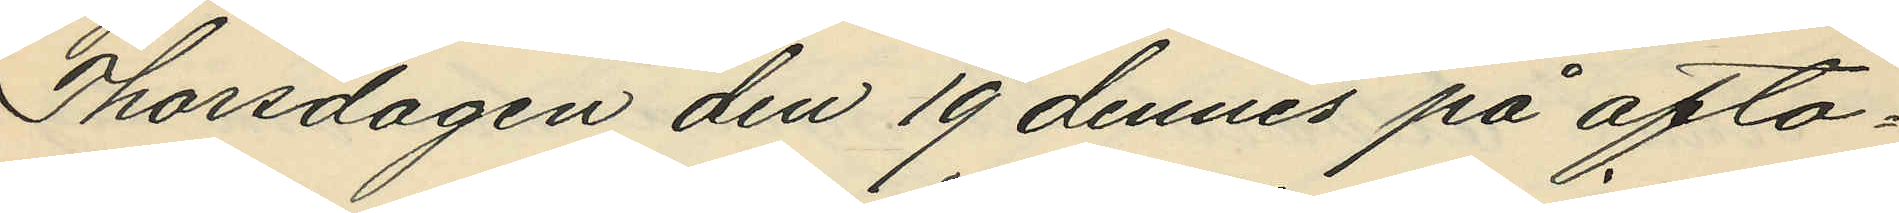Thorsdagen den 19 dennes på afto¬
